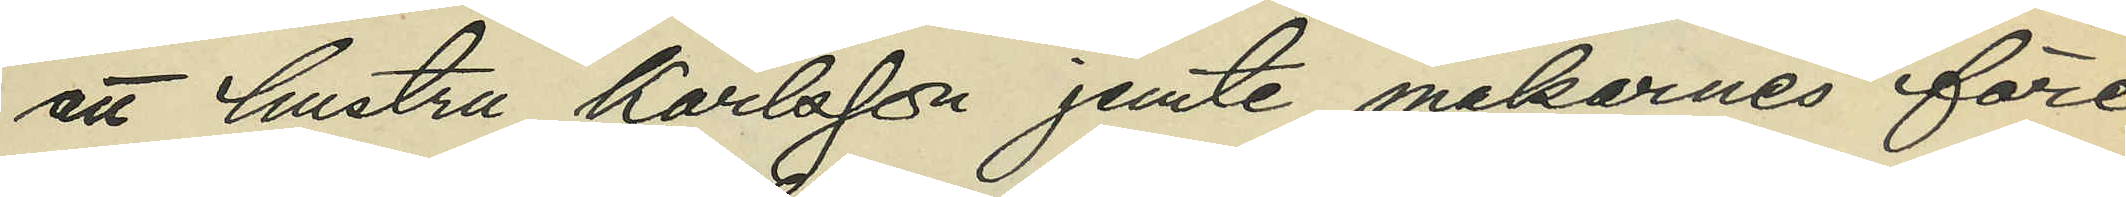att hustru Karlsson jemte makarnes före¬
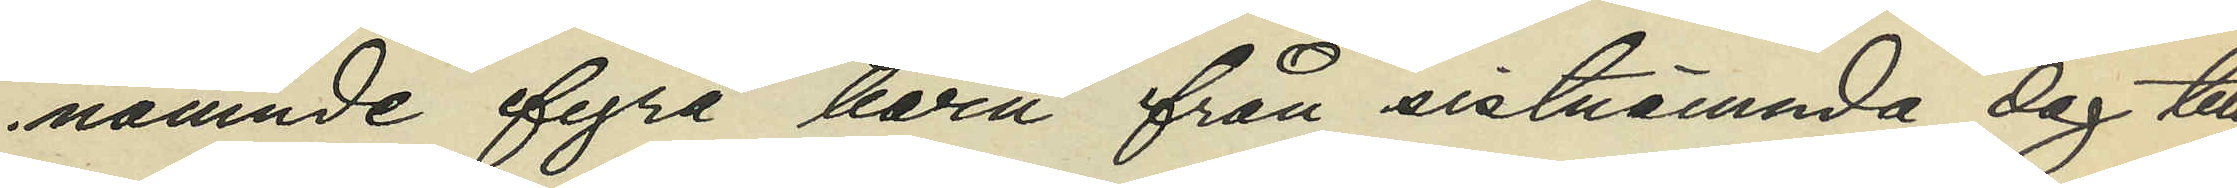nämnde fyra barn från sistnämnda dag till
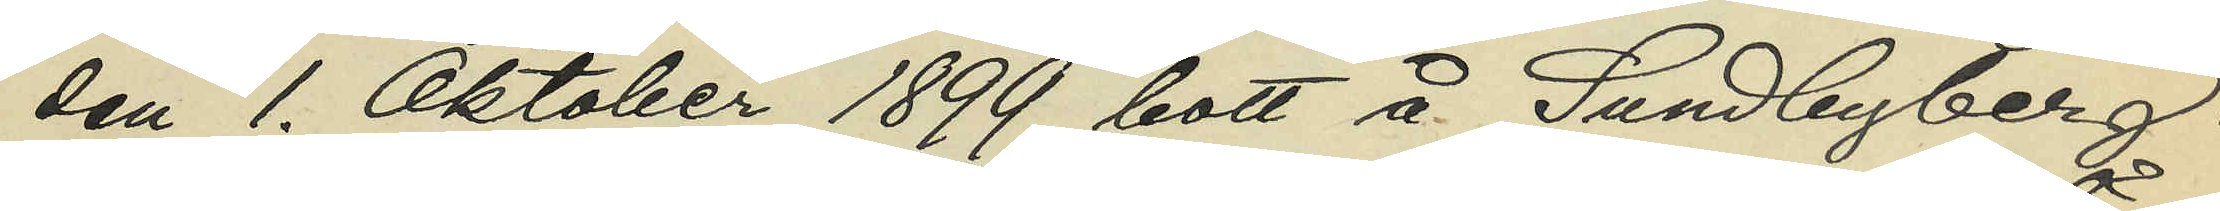den 1. Oktober 1899 bott Sundbyberg i
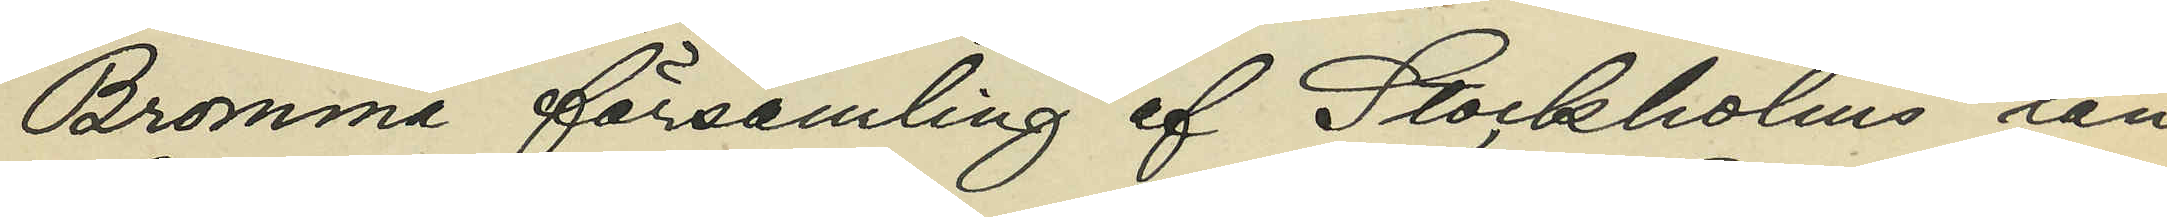Bromma församling af Stockholms län
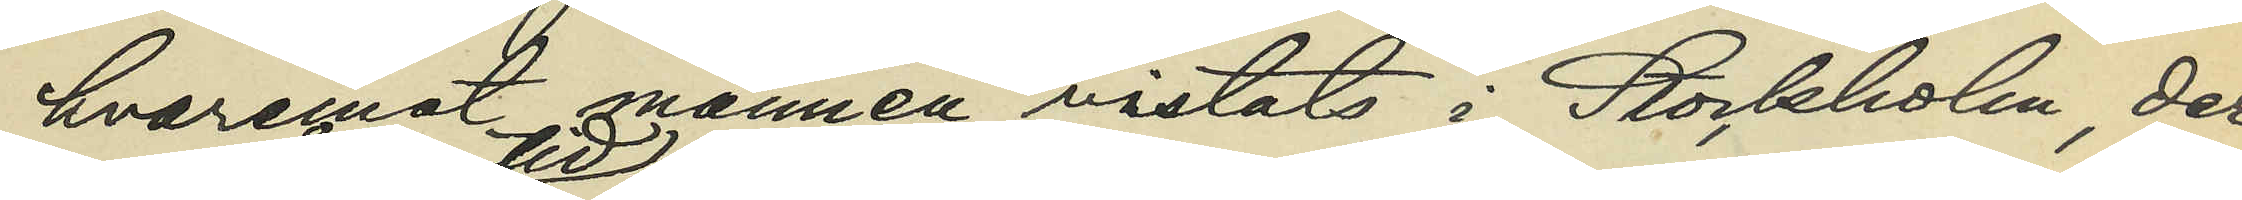hvarest mannen vistats i Stockholm, der
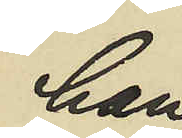han
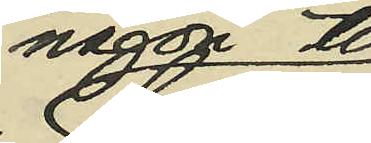någon tid
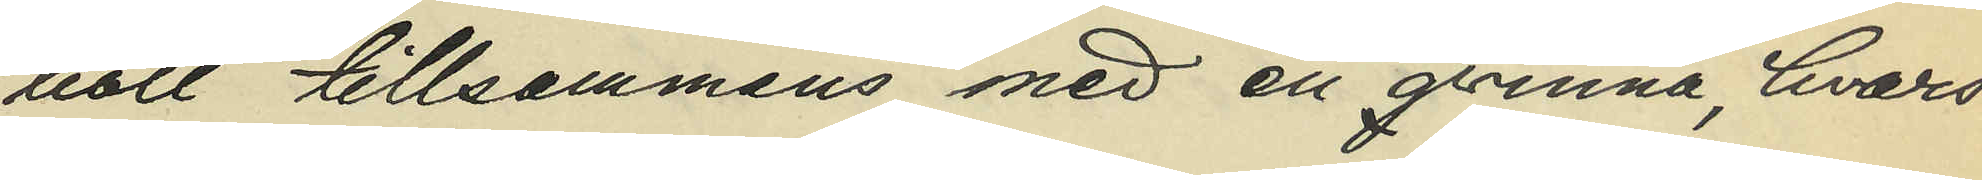bott tillsammans med en qvinna, hvars
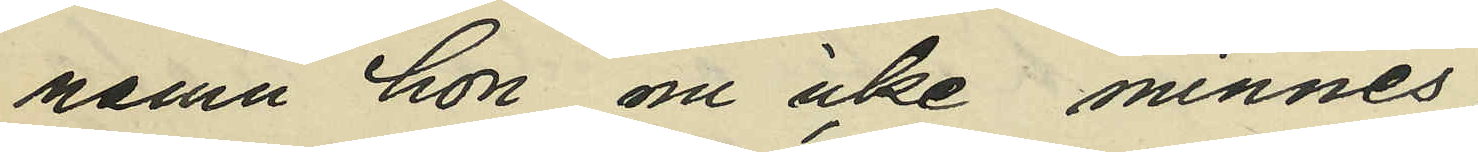namn hon nu icke minnes;
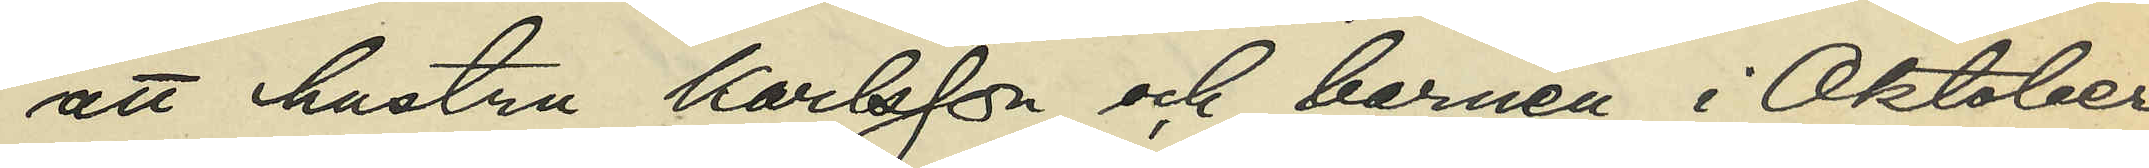att hustru Karlsson och barnen i Oktober
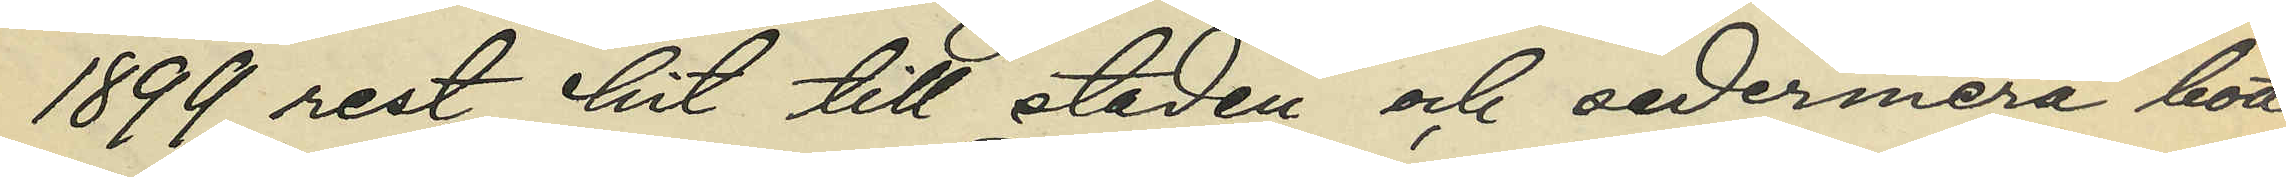1899 rest hit till staden och sedermera bott
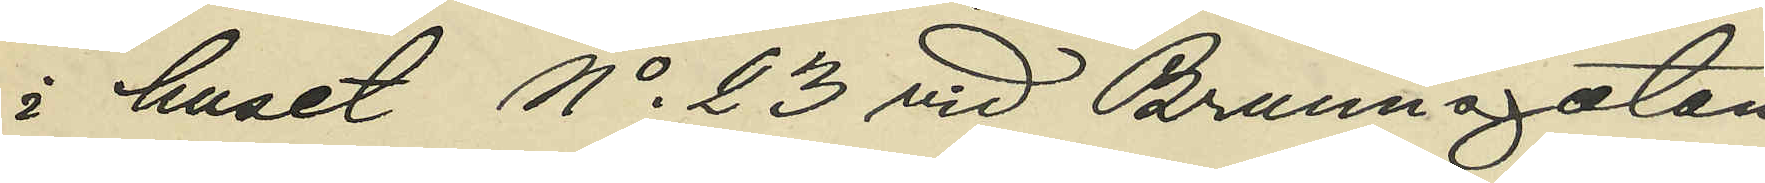i huset No 23 vid Brunnsgatan;
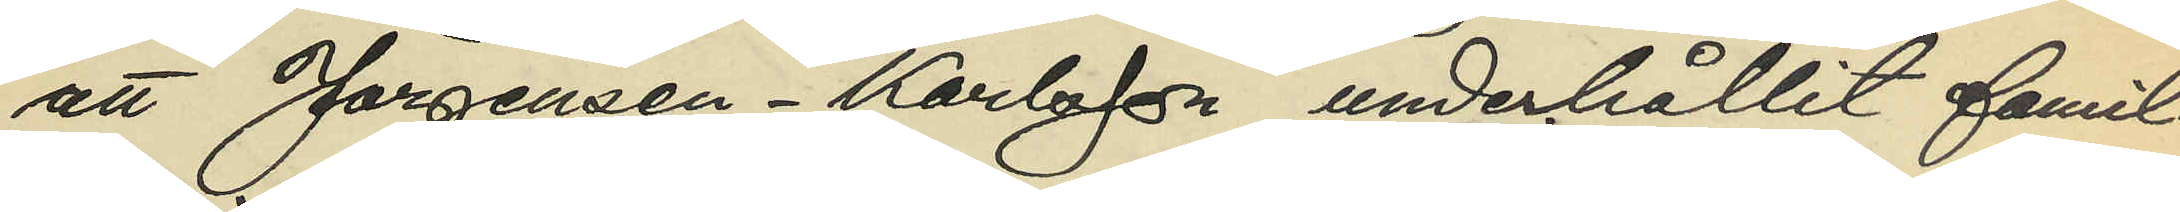att Jörgensen - Karlsson underhållit famil¬
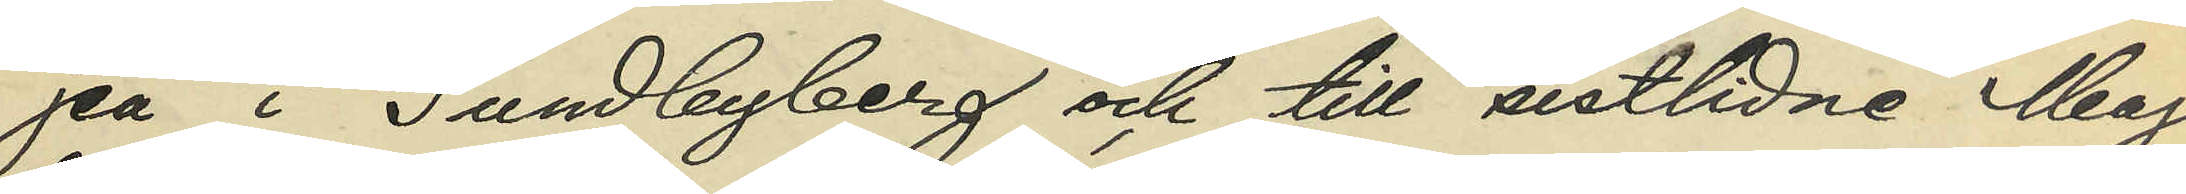jen i Sundbyberg och till sistlidne Maj
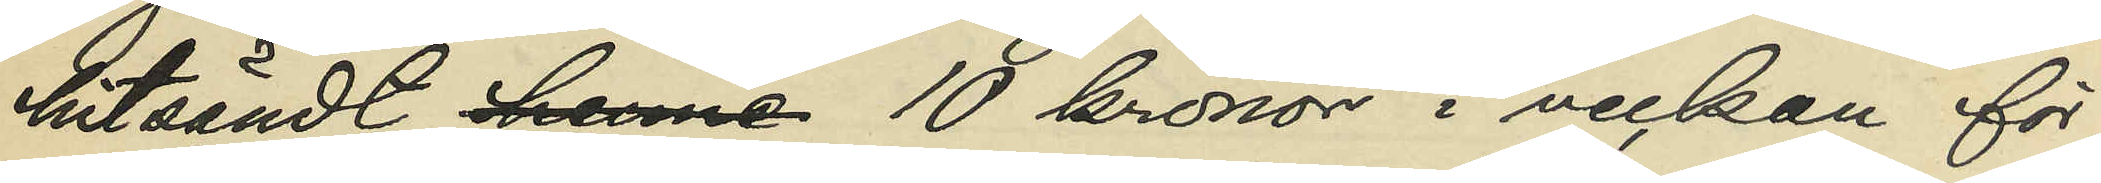hitsändt henne 10 kronor i veckan för
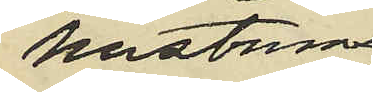hustruns 
